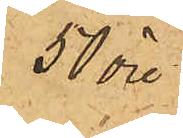50 öre
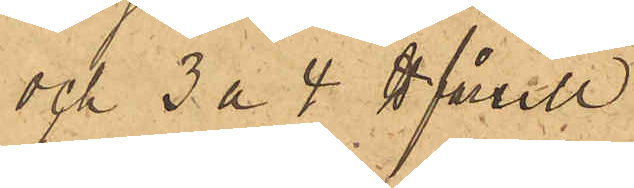och 3 à 4 ℔ fårull
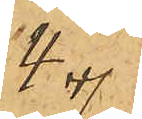4 "
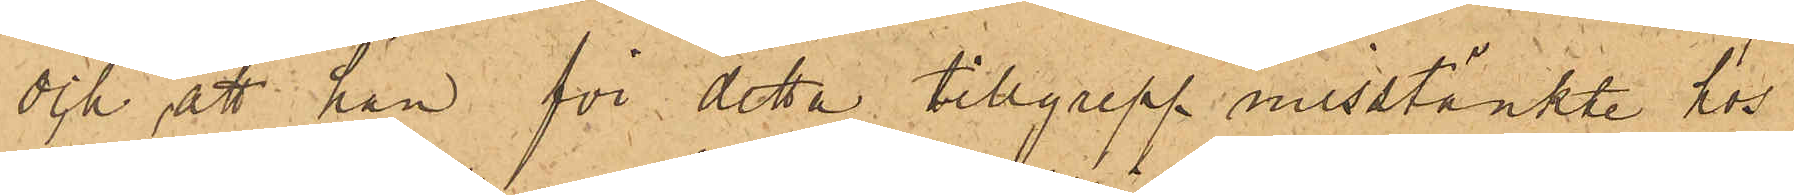och att han för detta tillgrepp misstänkte hos
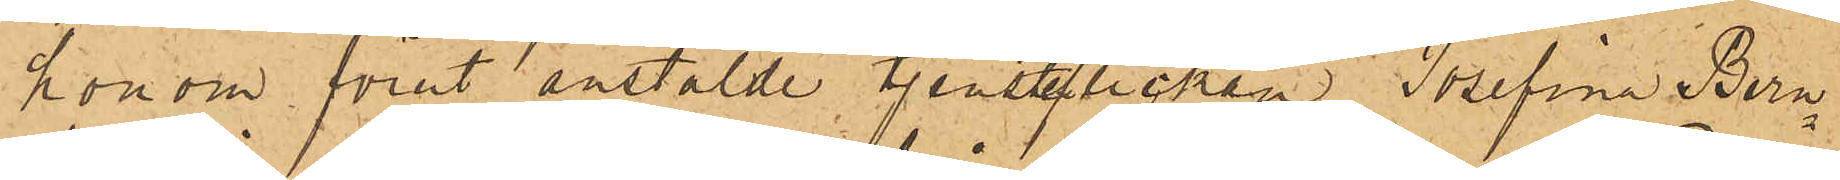honom förut anstälde tjenstelickan Josefina Bern¬
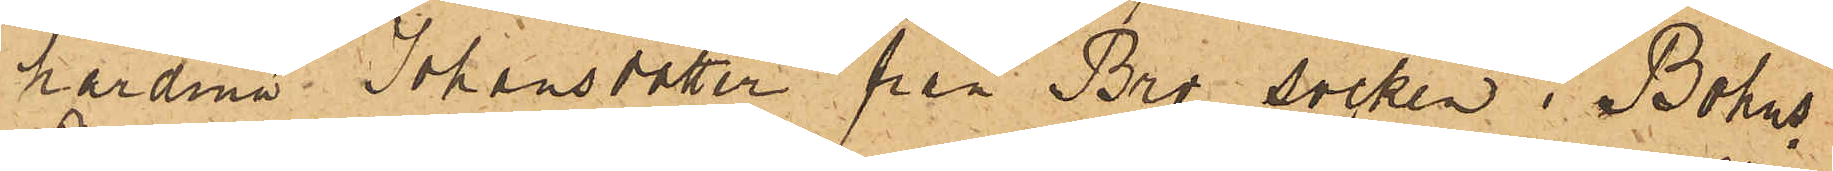hardina Johansdotter från Bro socken i Bohus
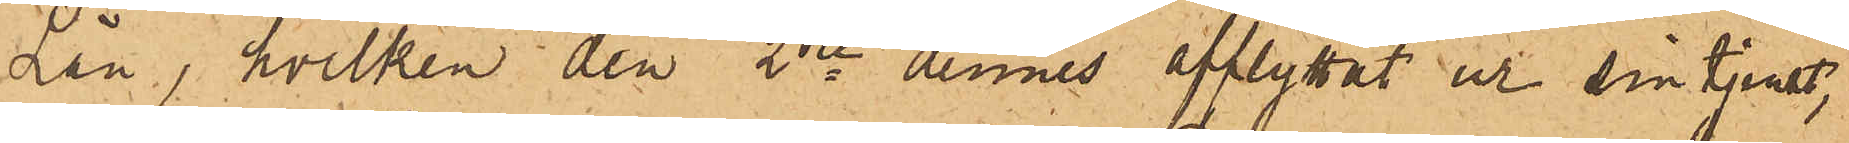Län, hvilken den 2dre dennes afflyttat ur sin tjenst,
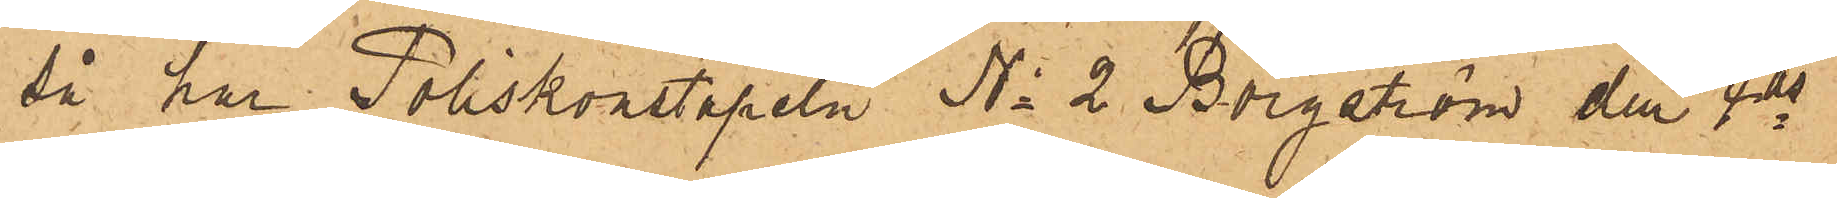så har Poliskonstapeln No 2 Borgström den 4 ds
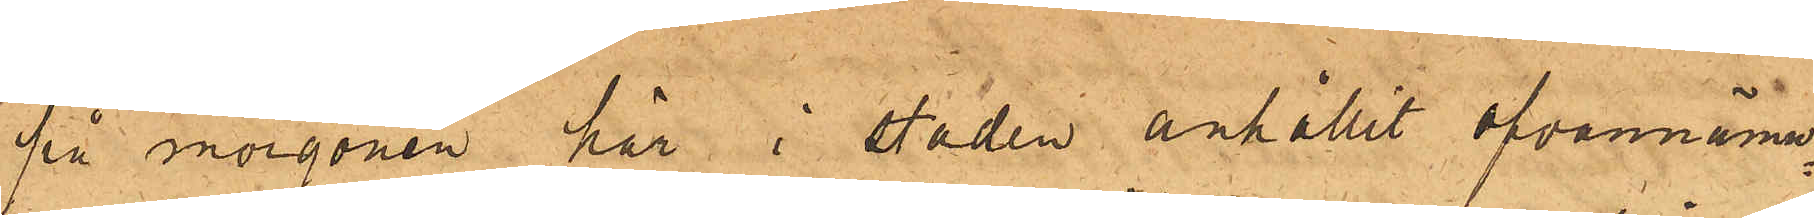på morgonen här i staden anhållit ofvannämn¬
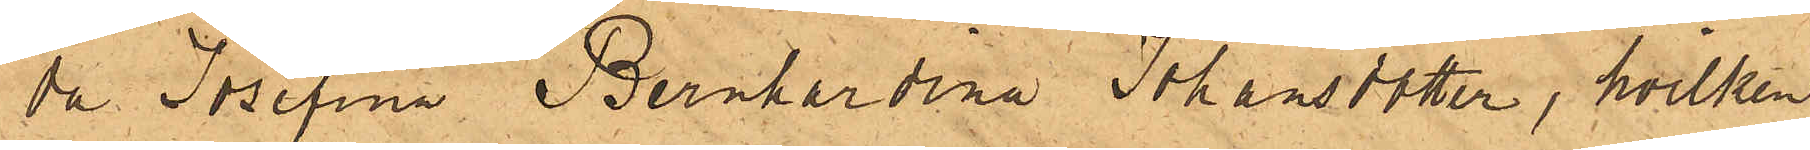da Josefina Bernhardina Johansdotter, hvilken
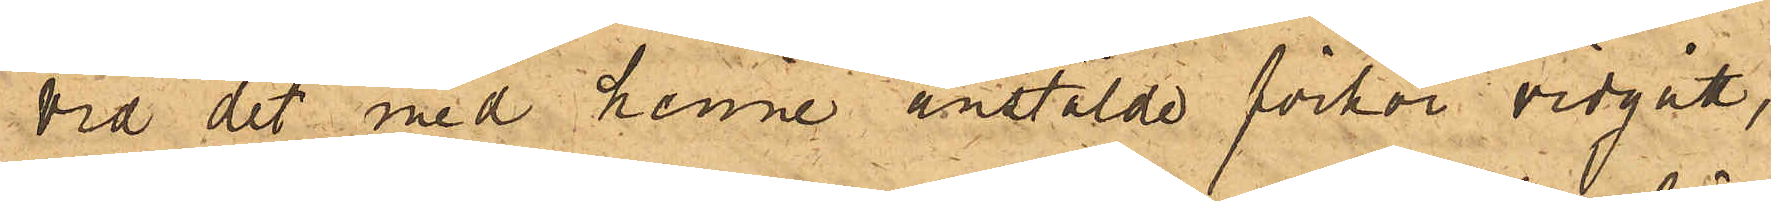vid det med henne anstälde förhör vidgått,
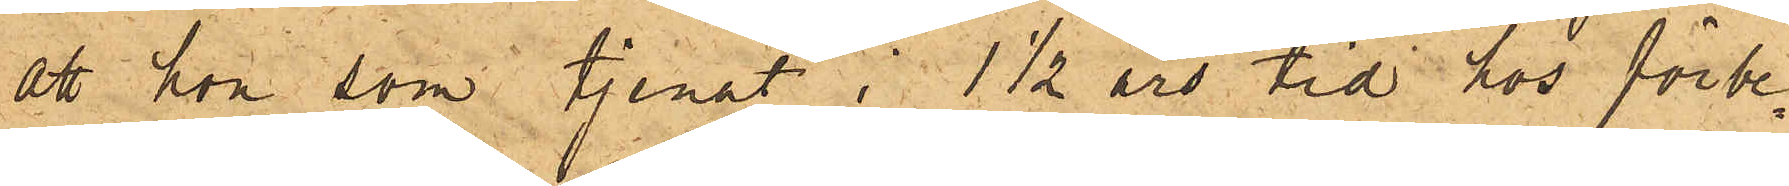att hon som tjenat i 1½ års tid hos förbe¬
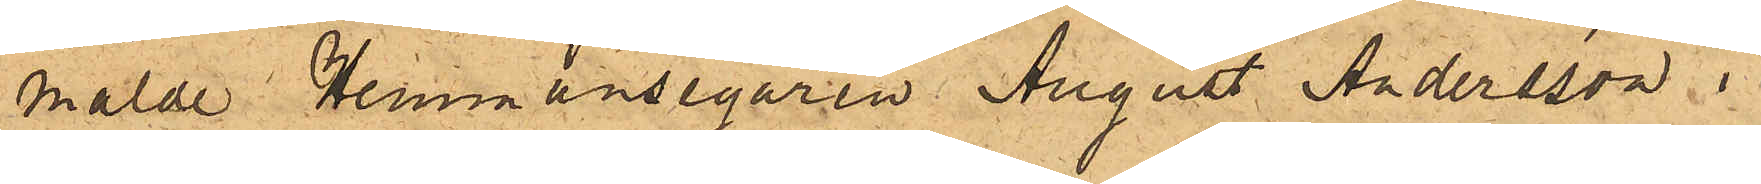mälde Hemmansegaren August Andersson i
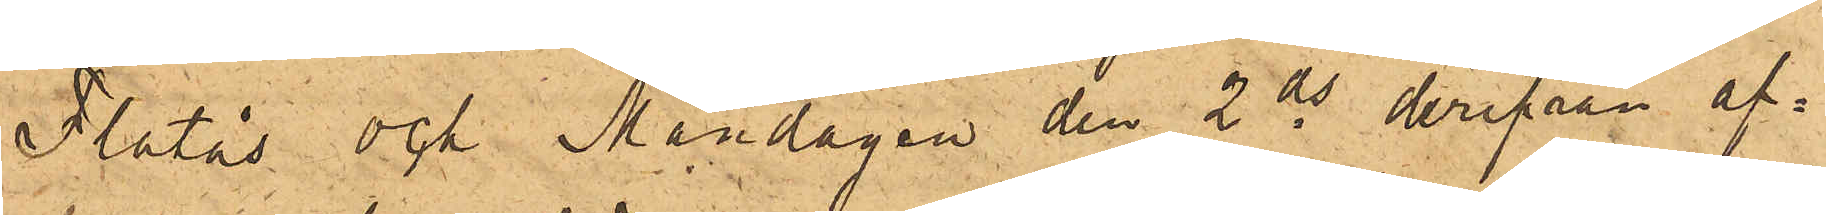Flatås och Måndagen den 2 ds derifrån af¬
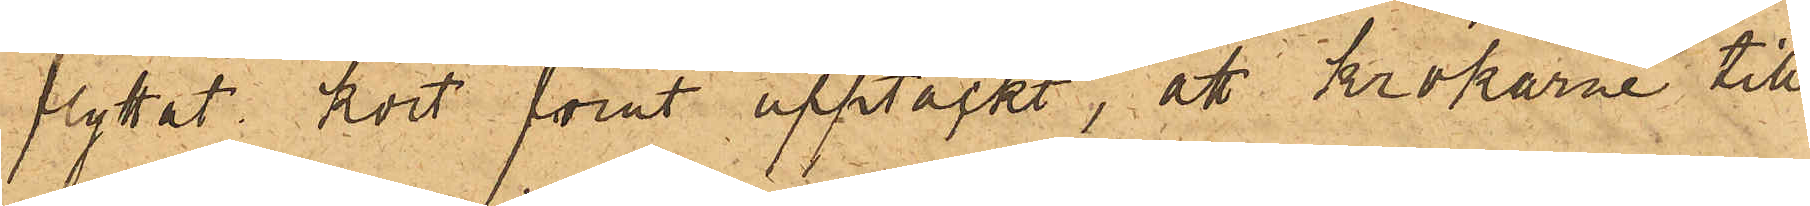flyttat kort förut upptäckt, att krokarne till
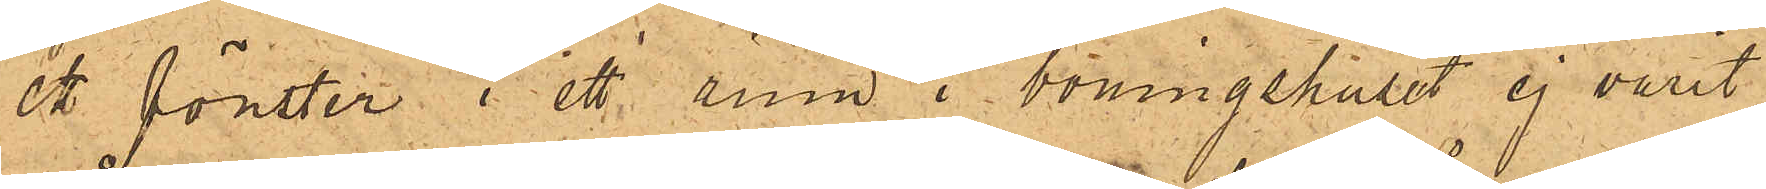ett fönster i ett rum i boningshuset ej varit
